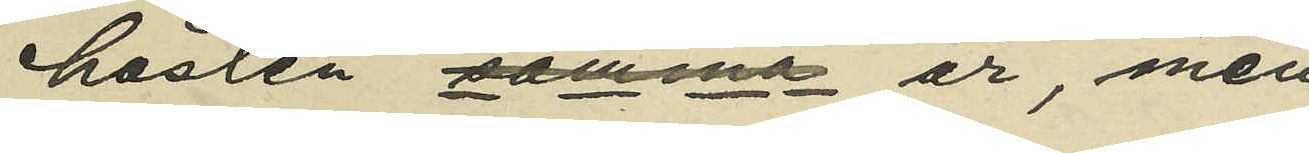hösten samma år, men
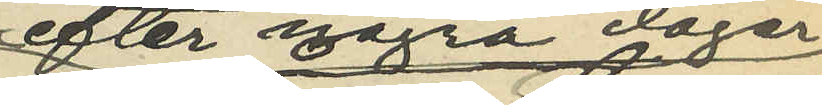efter några dagar
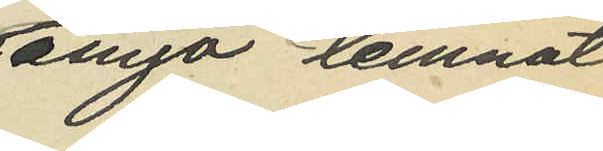ånyo lemnat
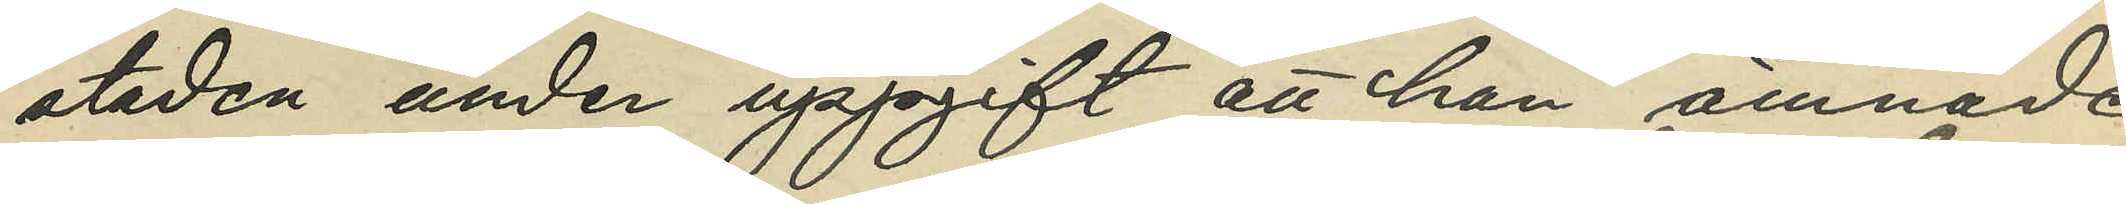staden under uppgift att han ämnade
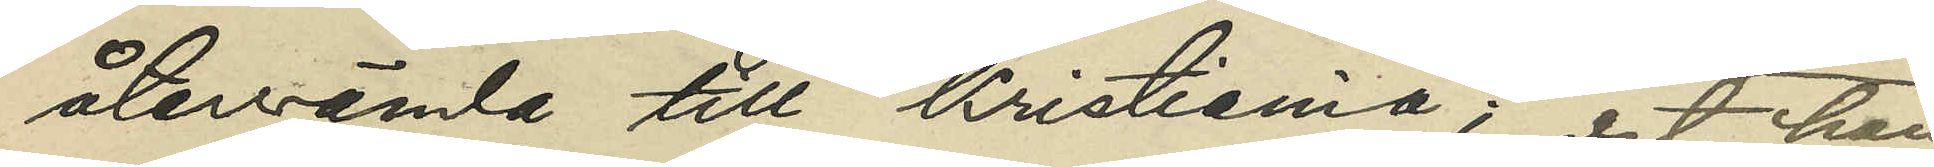återvända till Kristiania; det han
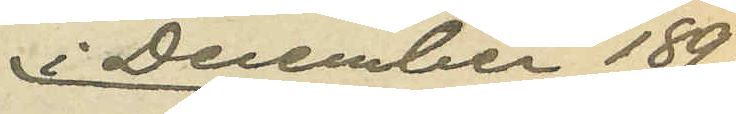i December 1897
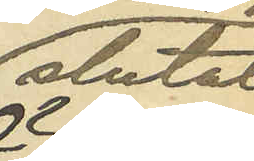slutat
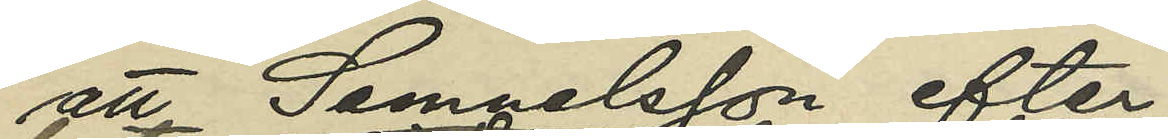att Samuelsson efter
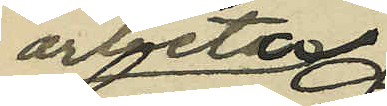arbetet
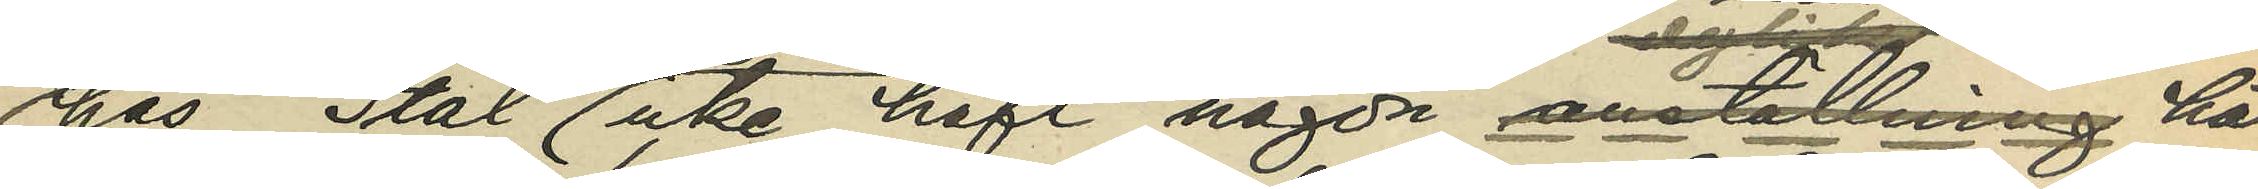hos Stål icke haft någon anställning här
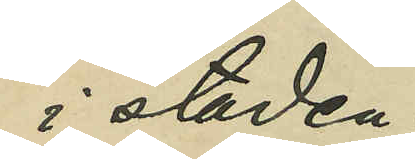i staden;
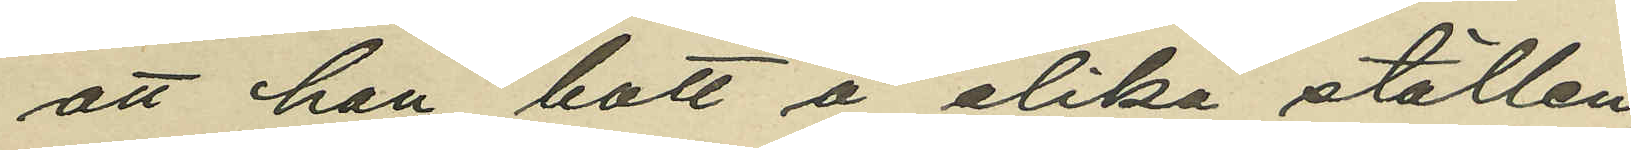att han bott å olika ställen,
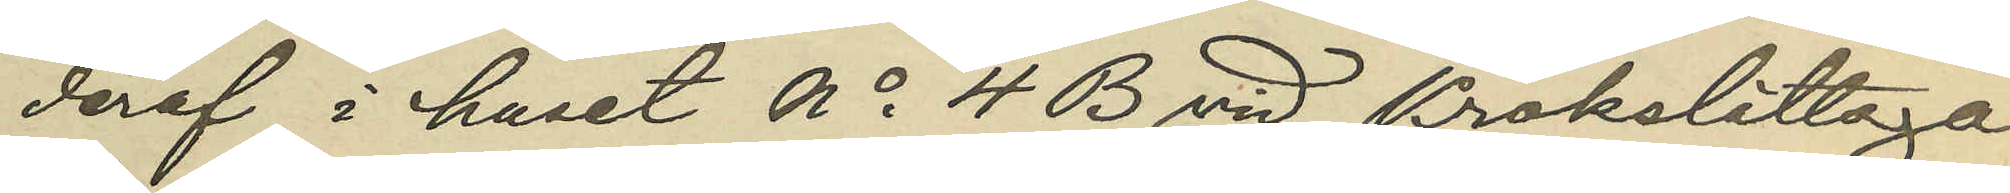deraf i huset No 4 B vid Krokslättsga¬
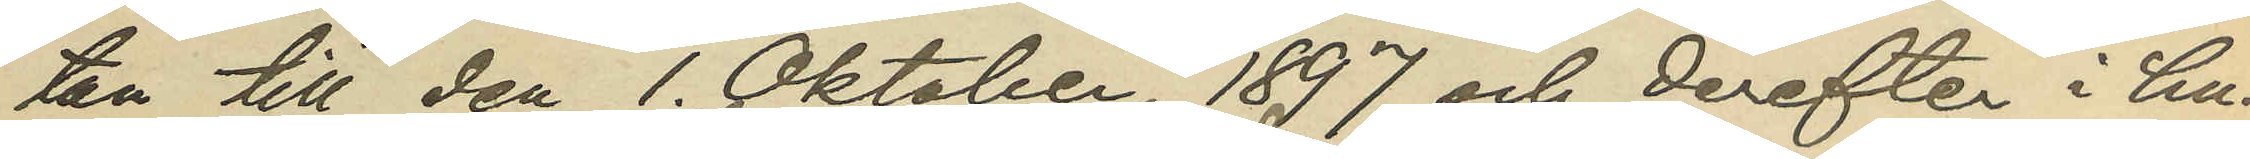tan till den 1. Oktober 1897 och derefter i hu¬
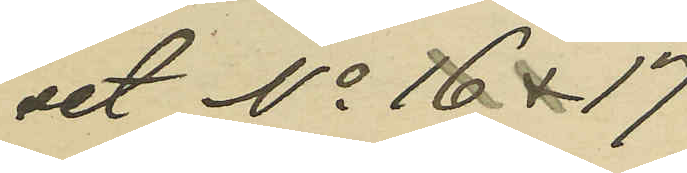set No 16 & 17 
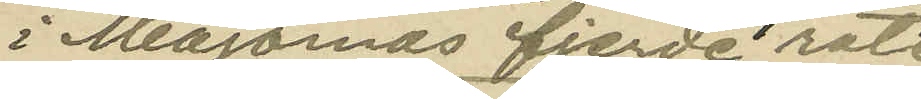i Majornas fjerde rote
